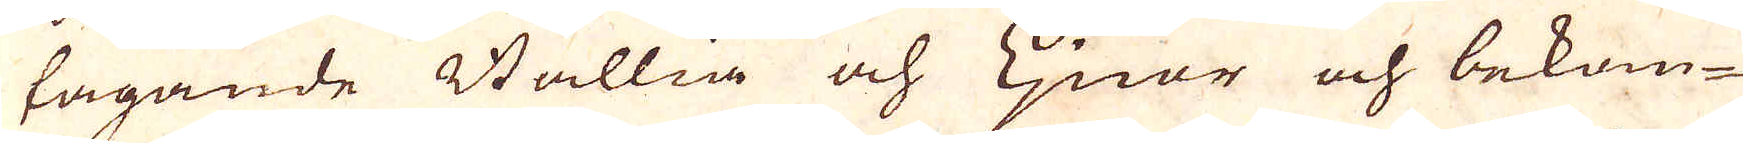tagande Ballia och Ljnor och bekom-
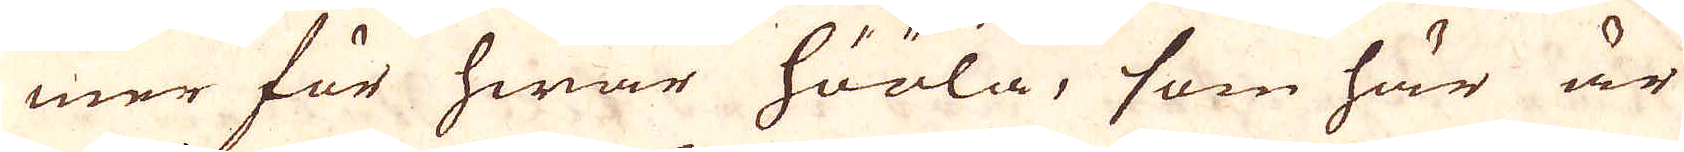mer för hwar hööla, som här är
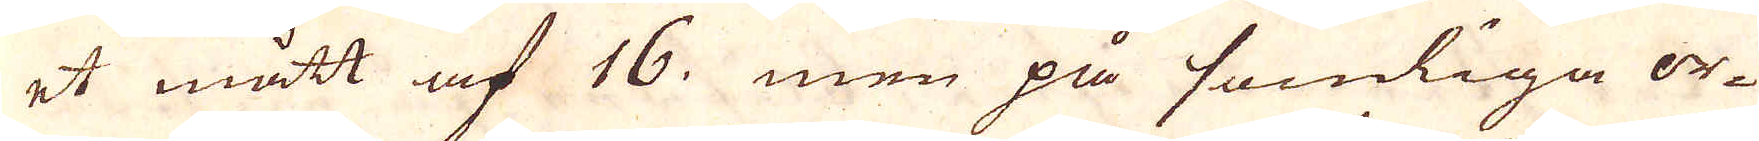et mått af 16. men på somliga or-
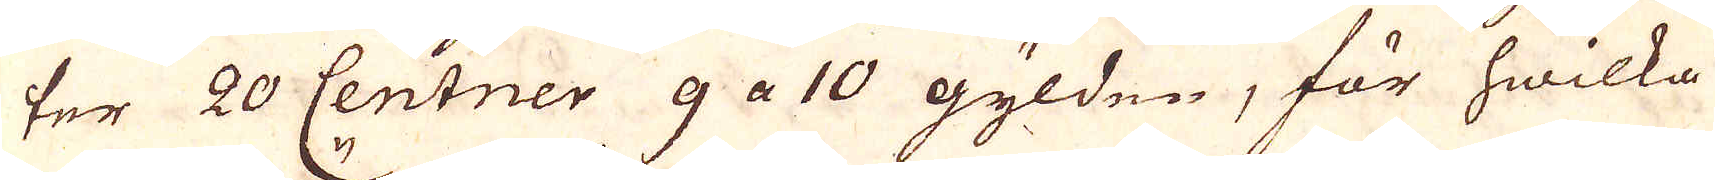ter 20 Centner 9 a 10 gylden, för hwilka
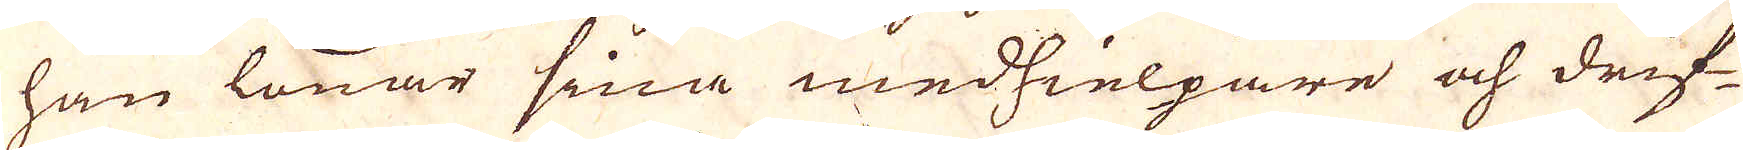han lönar sina medhielpare och drif-
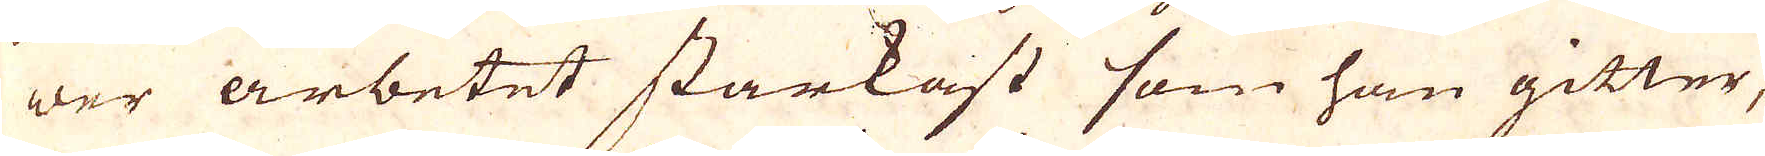wer arbetet starkast som han gitter,
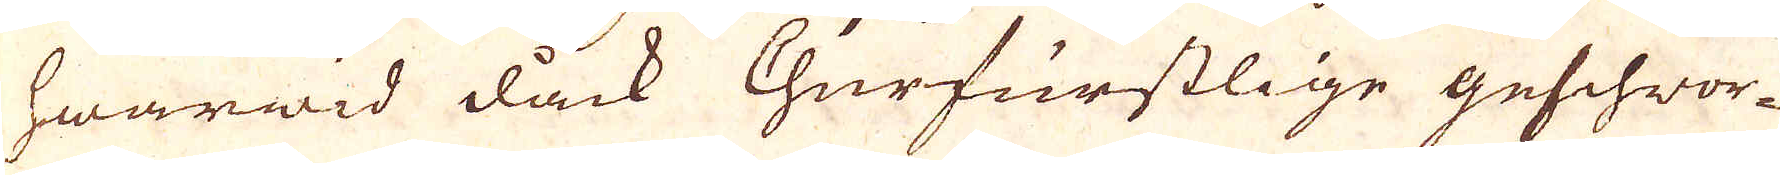hwarwid dock Churfurstlige geschwor-
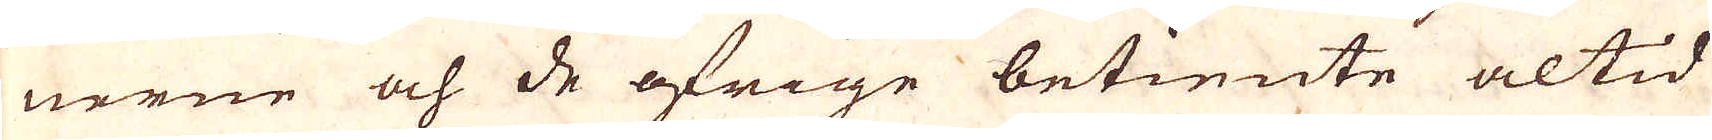nerne och de öfrige betiente altid
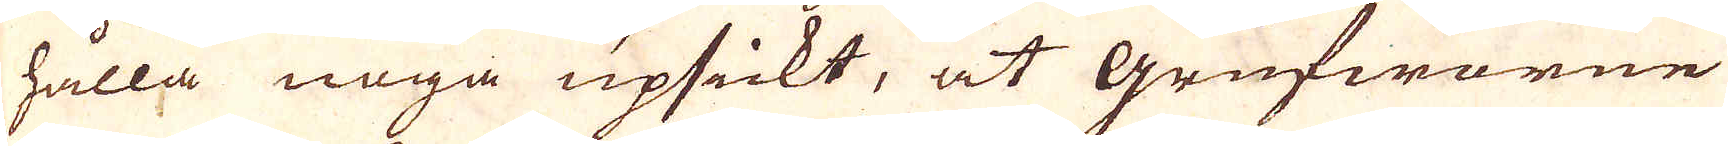hålla noga upsickt, at grufworne
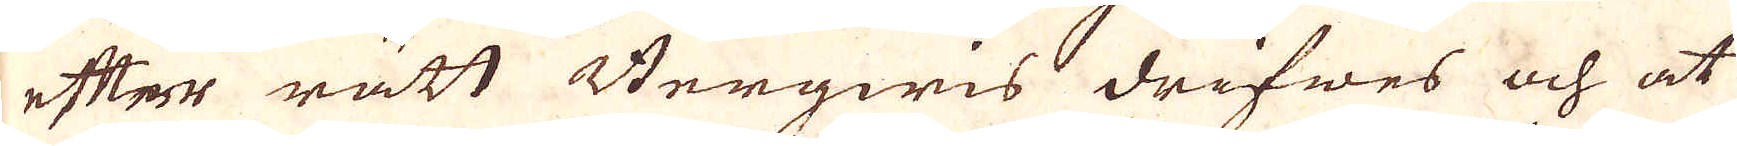efter rätt Bergwis drifwes och at
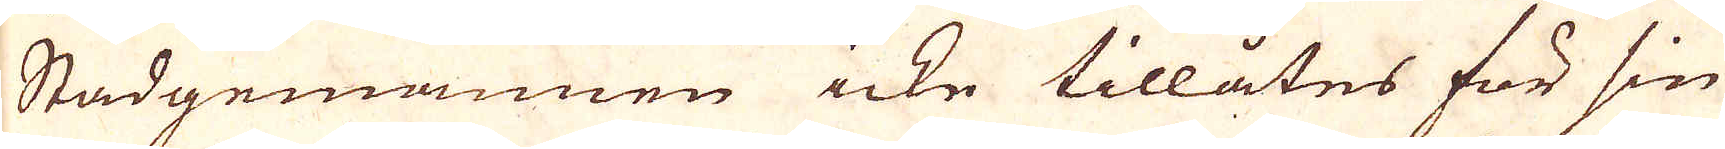Stadgemannen icke tillåtes för sin
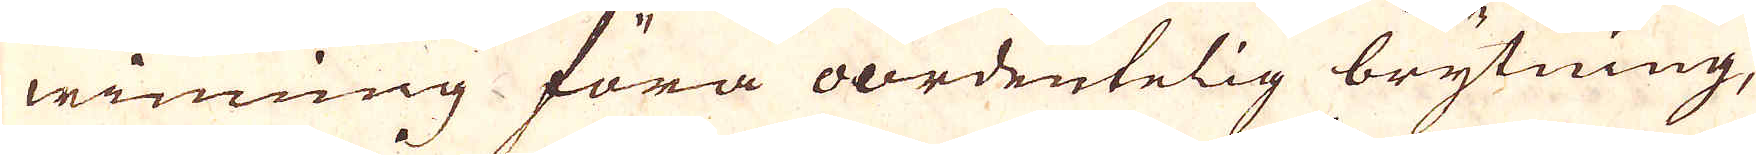winning föra oordentelig brytning,
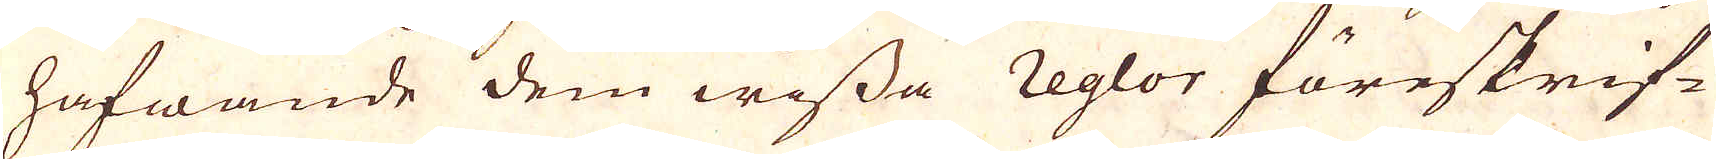hafwande dem wissa reglor föreskrif-
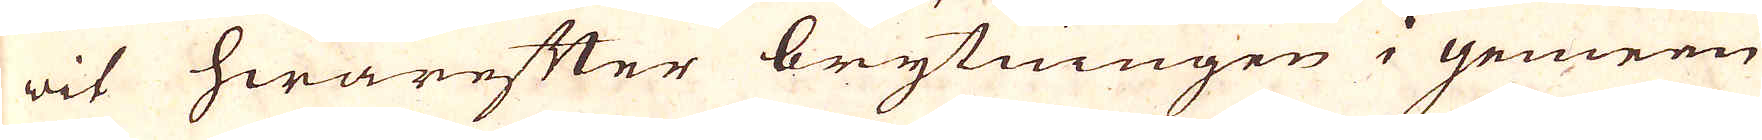wit hwarefter brytningen i gemen
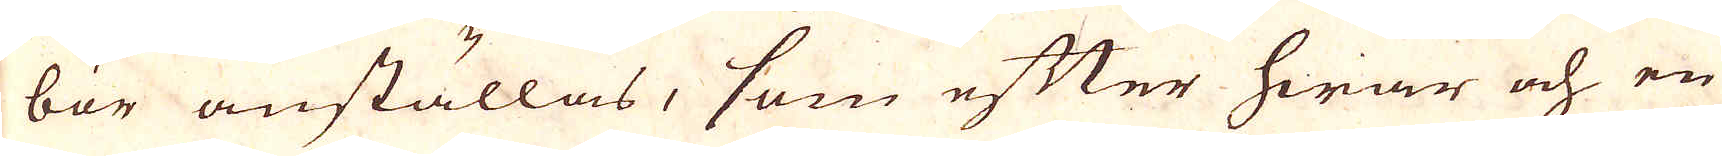bör anställas, som efter hwar och en
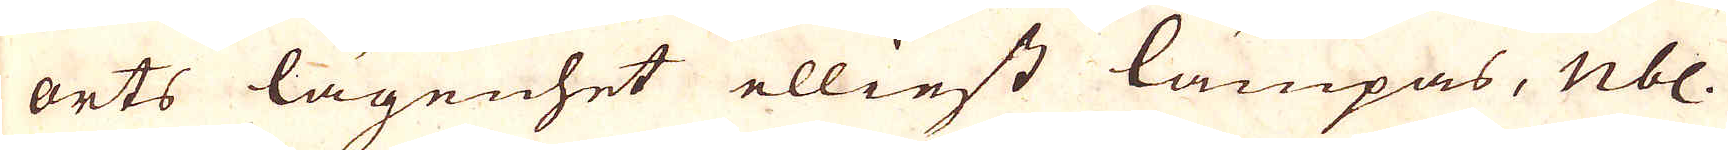orts lägenhet elliest lämpas, nbl.
